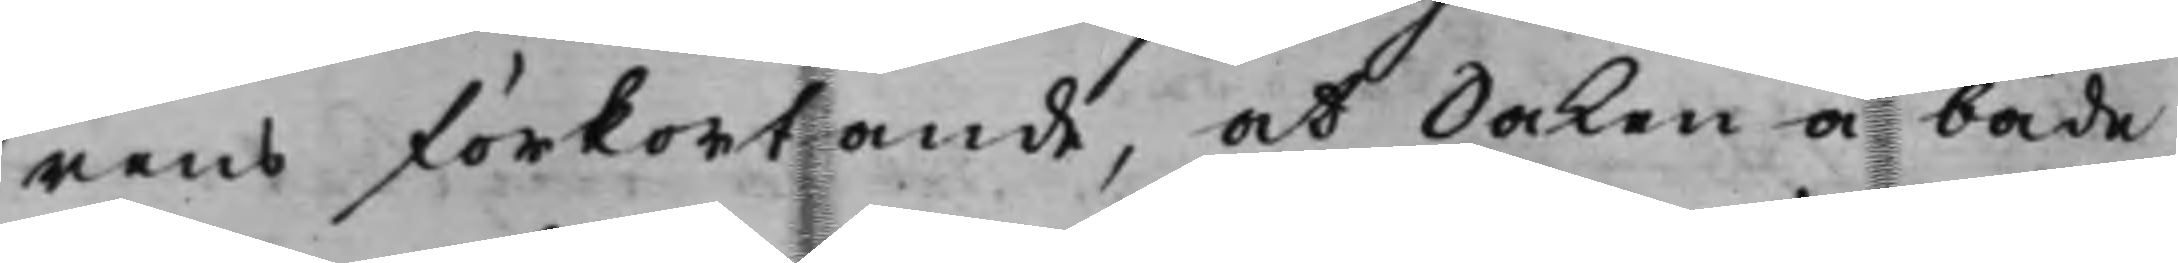rens förkortande, at Saken å både
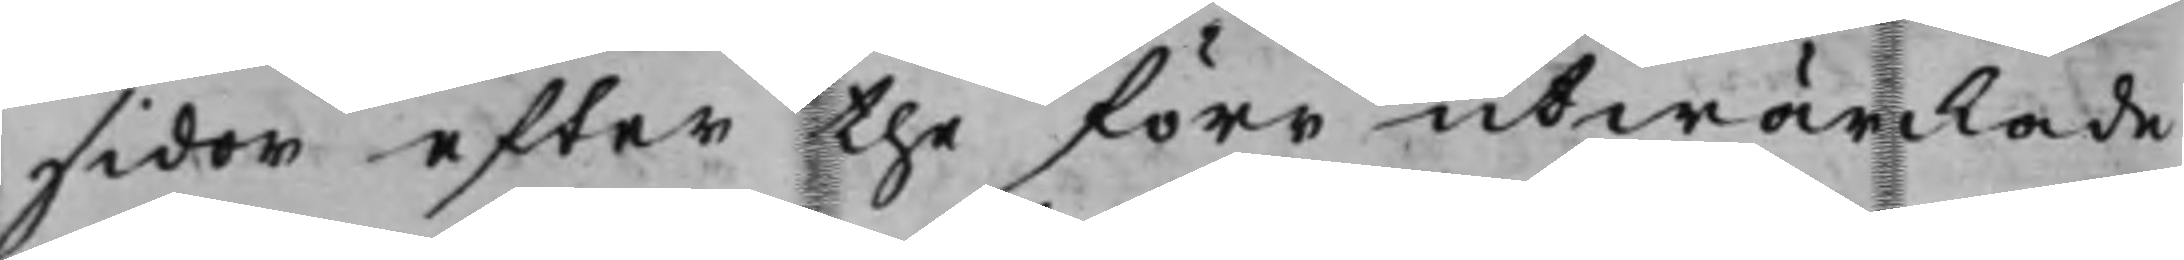sidor efter the förr utwärckade
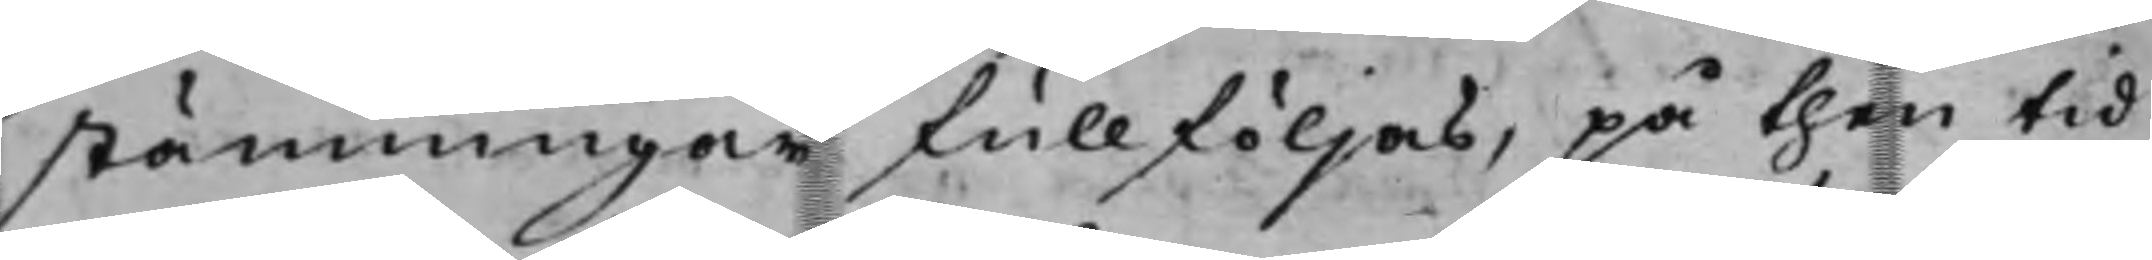stämningar fullföljas, på then tid
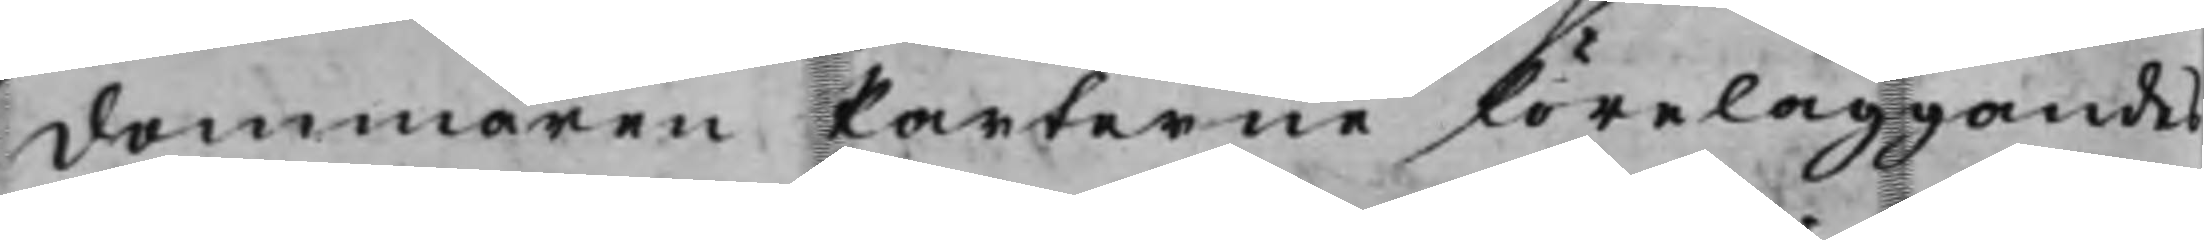dommaren Parterne föreläggandes
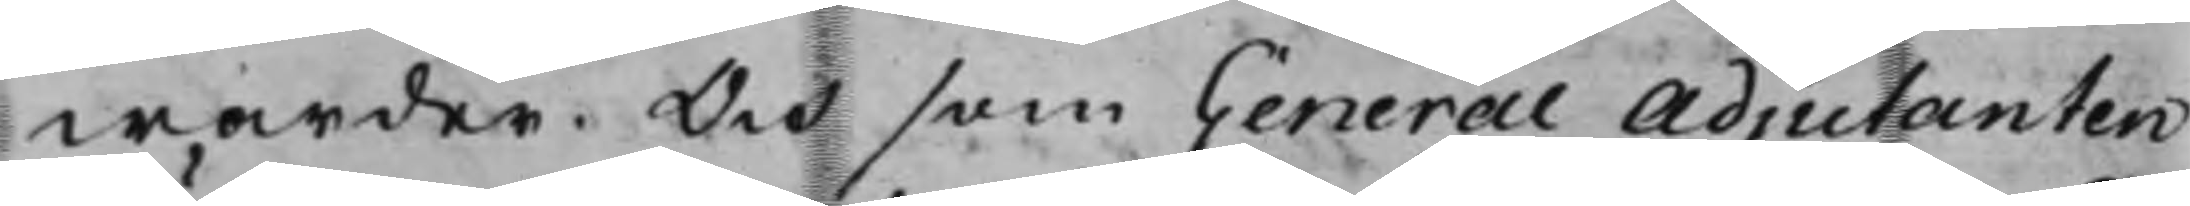warder. Och som General Adjutanten
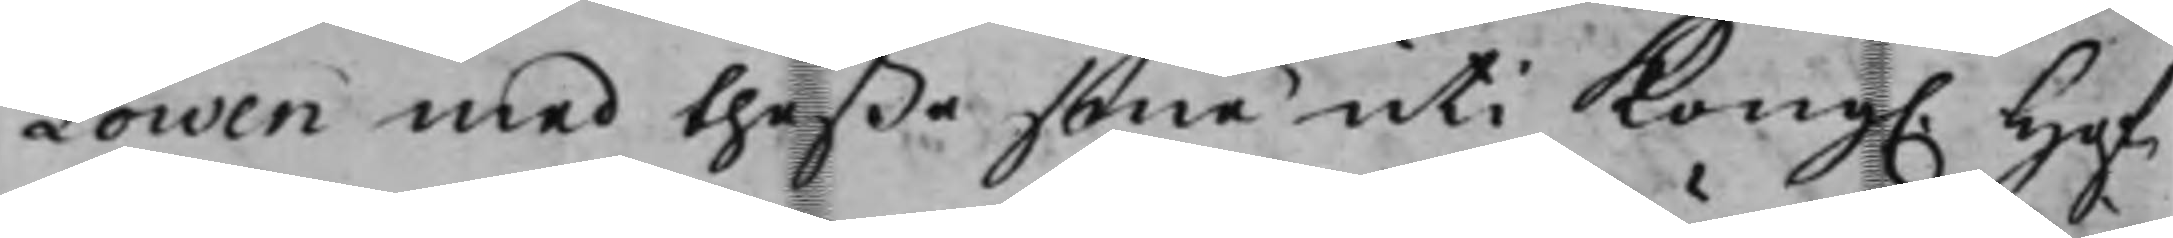Löwen med theßa sina uti Kong. Hof¬
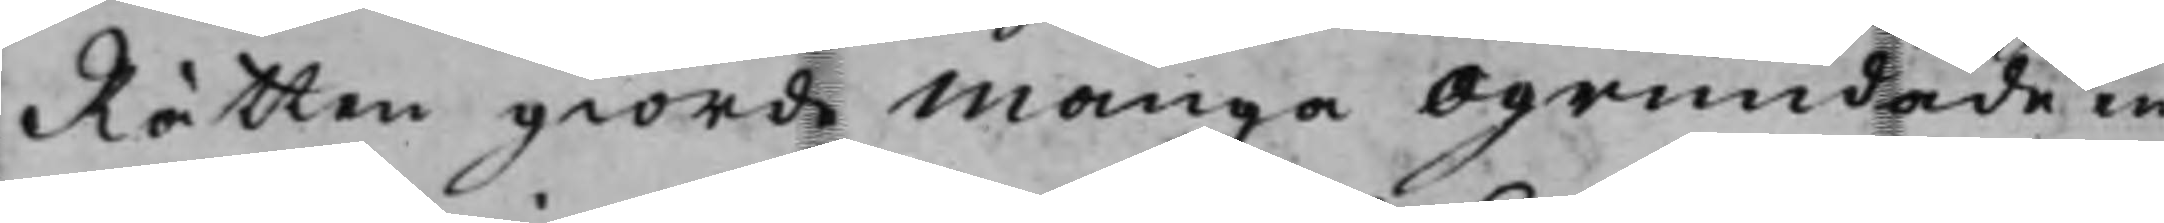Rätten giorde många ogrundade in¬
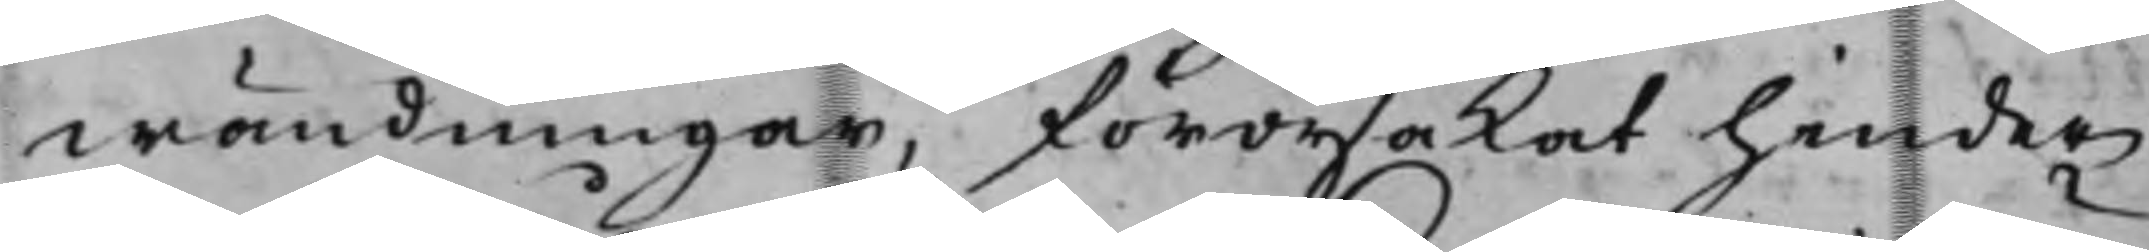wändningar, förorsakat hinder
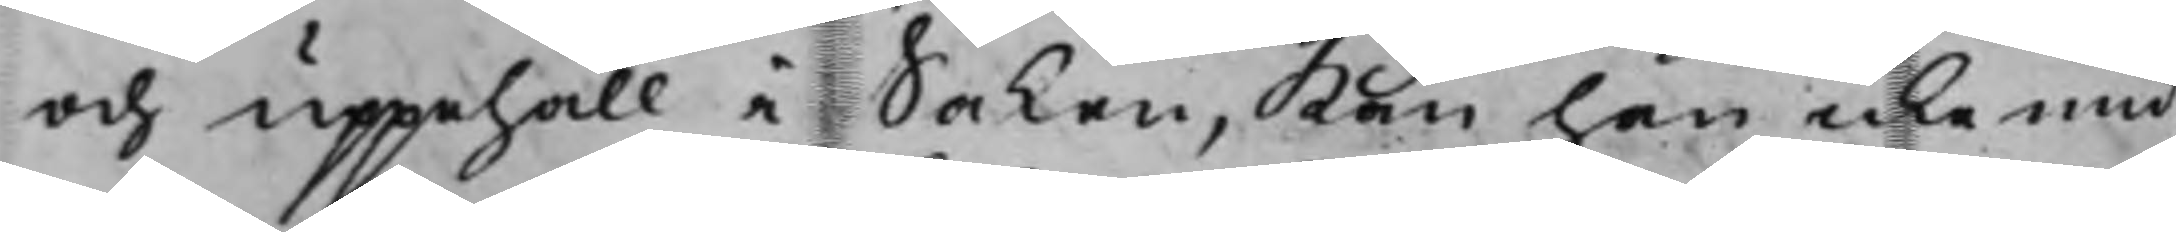och uppehåll i Saken, Kan han icke und¬
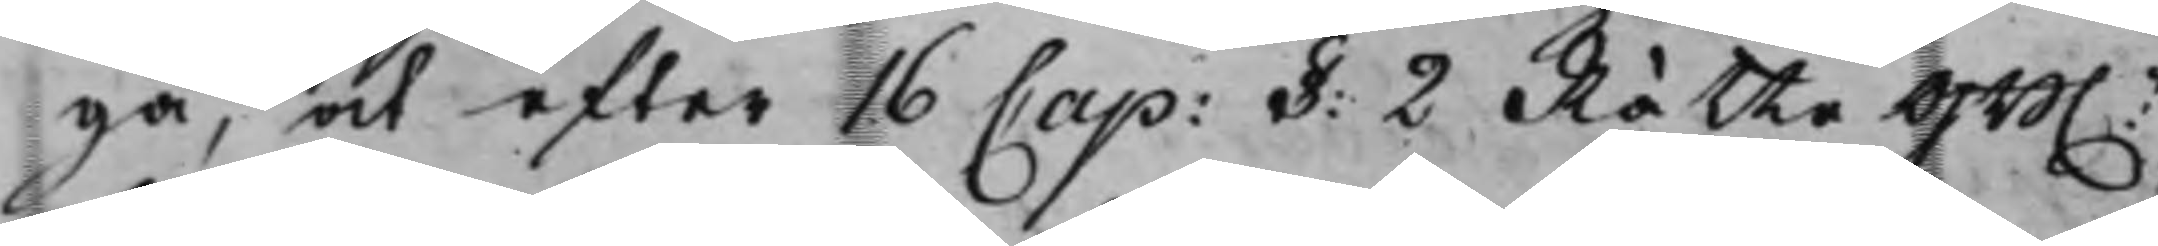gå, at efter 16 Cap: §: 2 RätteGB.n,
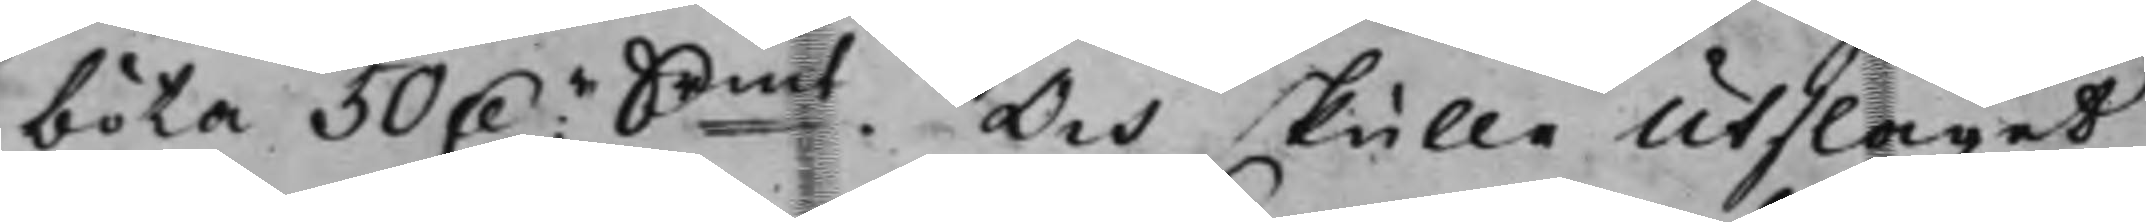böta 50 D.r Smt. Och skulle Utslaget
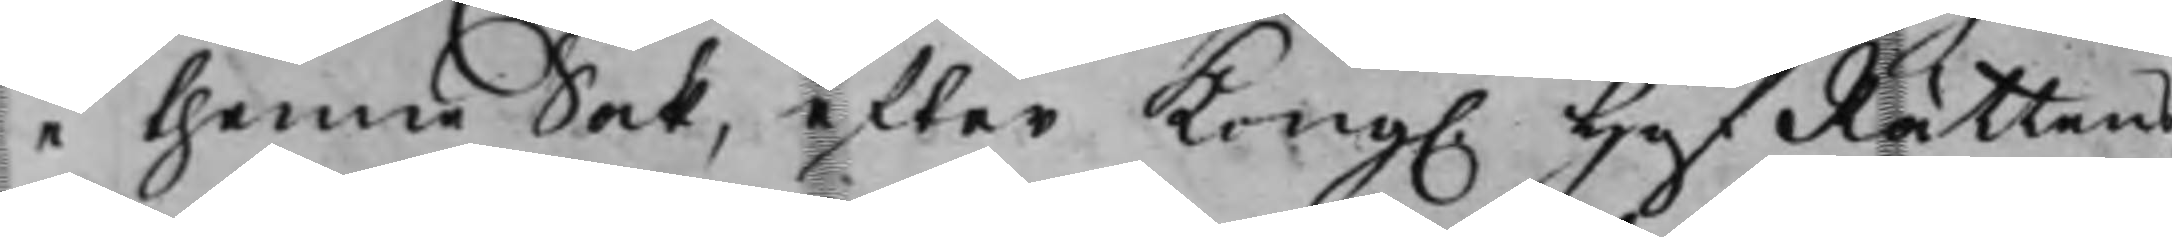i thenne Sak, efter Kong. HofRättens
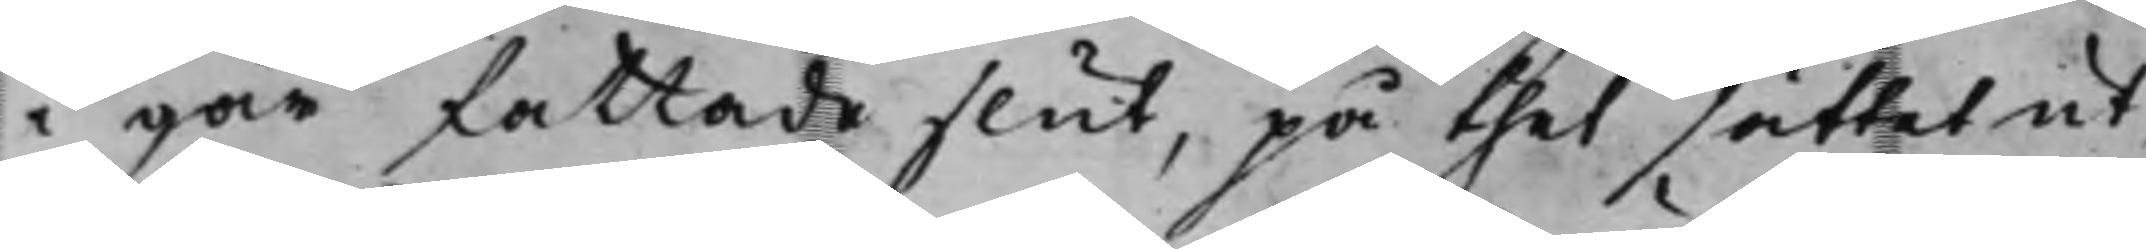i går fattade slut, på thet sättet ut¬
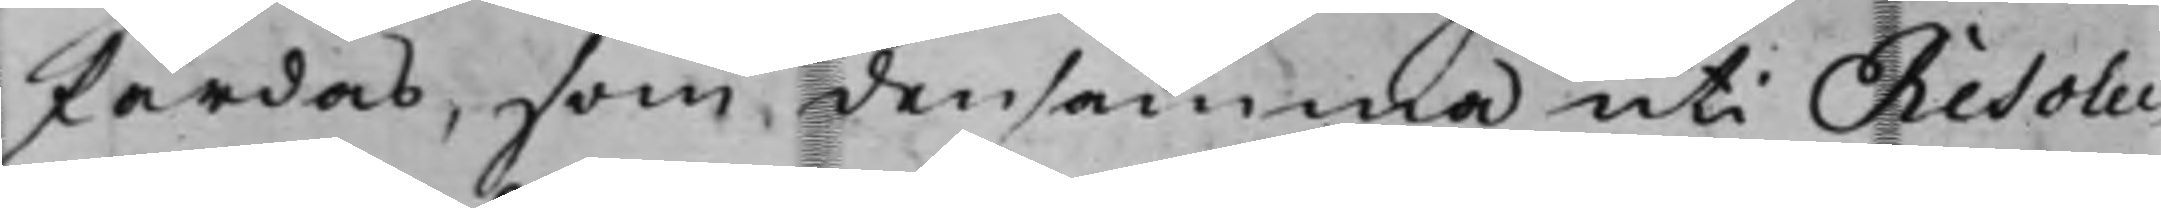färdas, som densamma uti Resolu¬
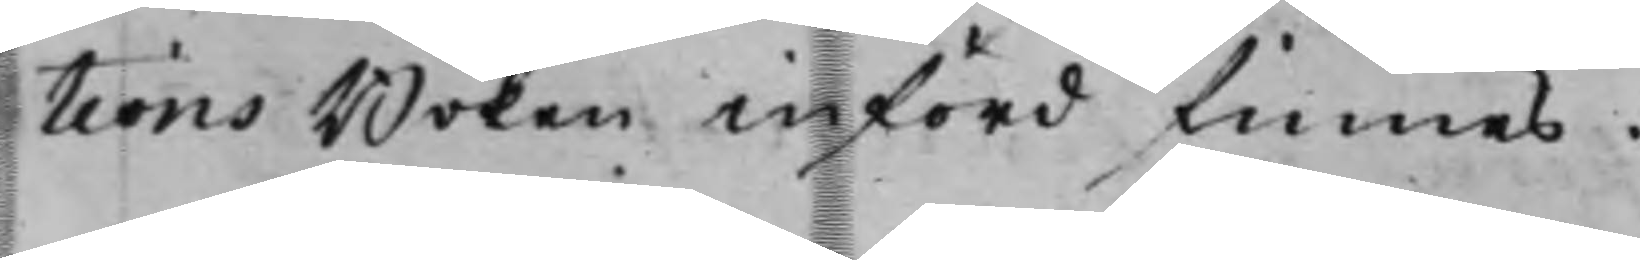tionsBoken införd finnes.
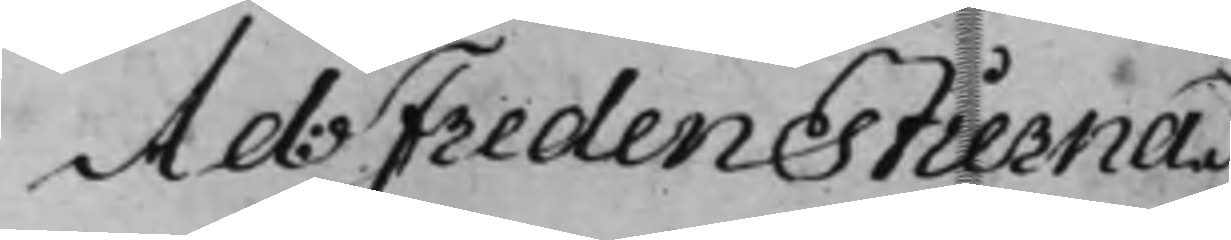Ad: Fredenstierna
